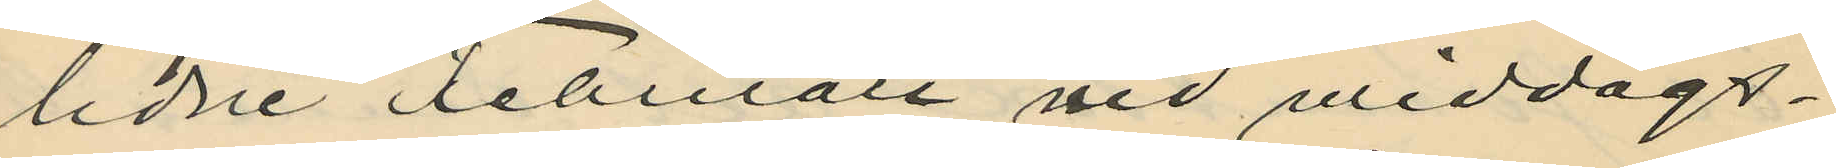lidne Februari vid middags¬
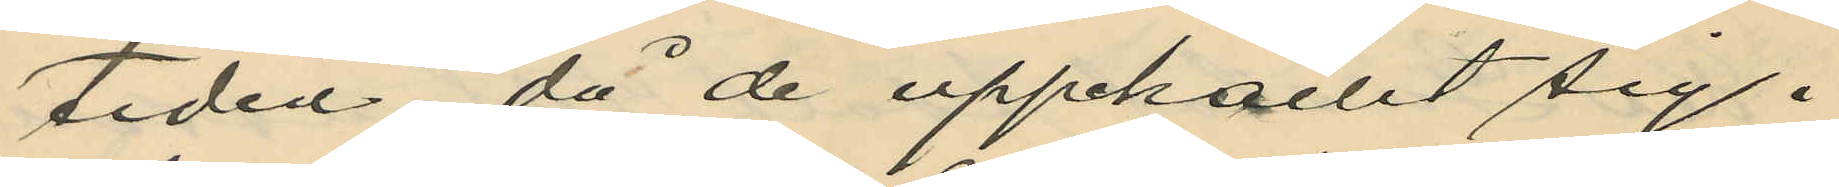tiden, då de upphållit sig i
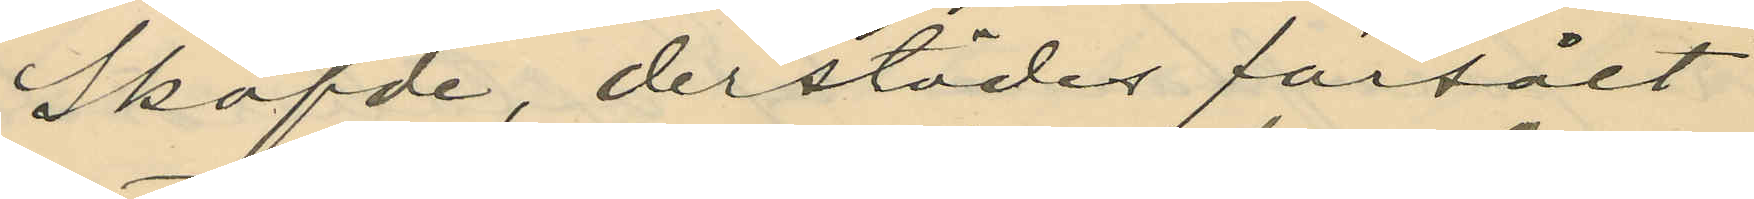Sköfde, derstädes försålt
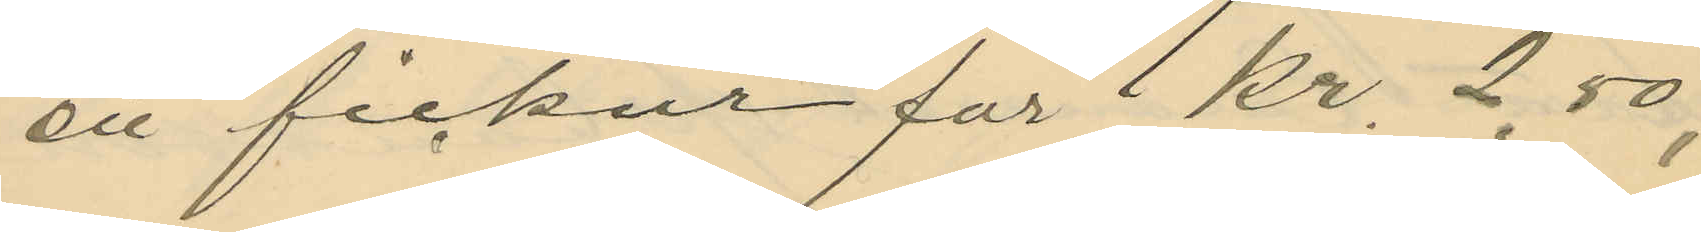en fickur för 1 kr. 2,50,
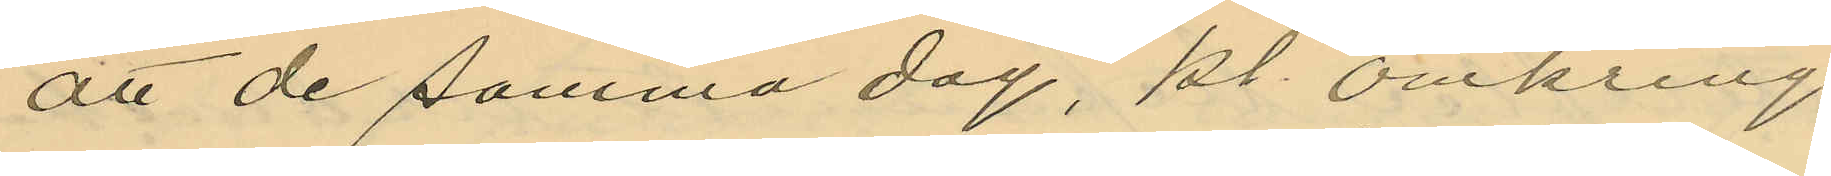att de samma dag, kl. omkring
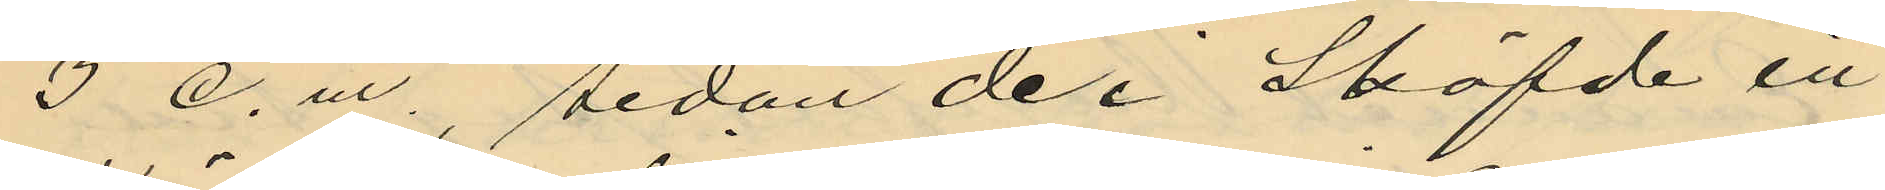3 e. m. sedan de i Sköfde in¬
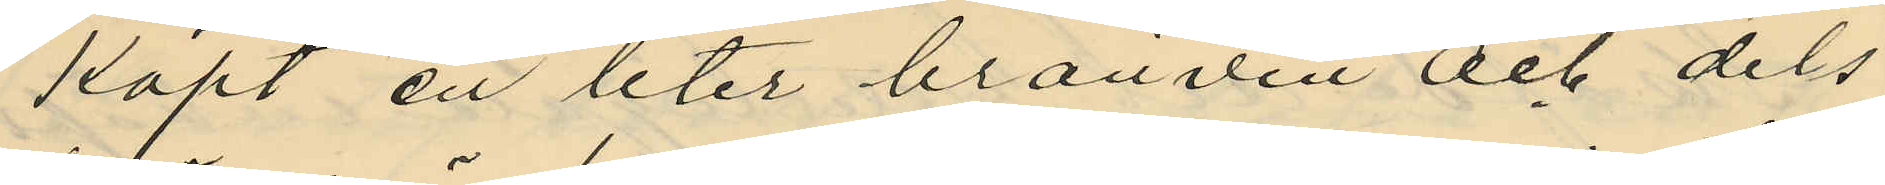köpt en liter bränvin och dels
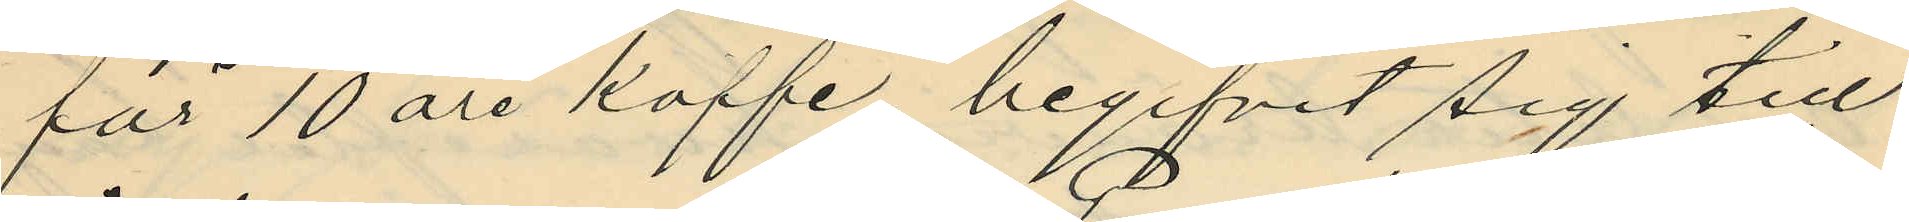för 10 öre kaffe, begifvit sig till
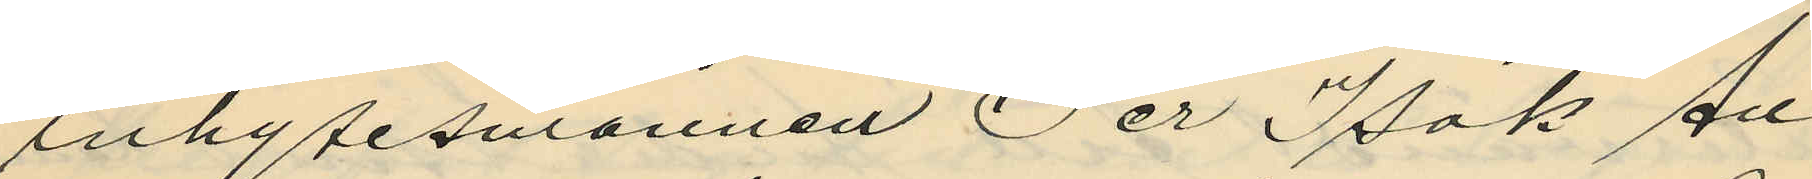inhysesmannen Per Isak An¬
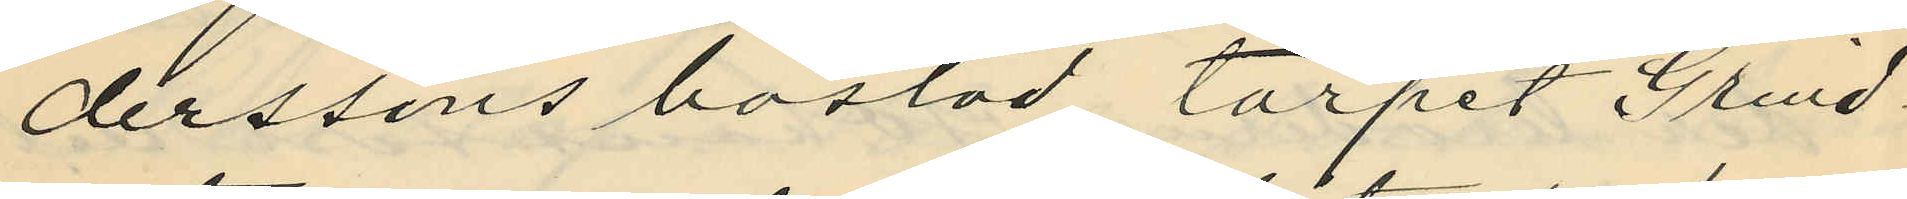derssons bostad, torpet Grind¬
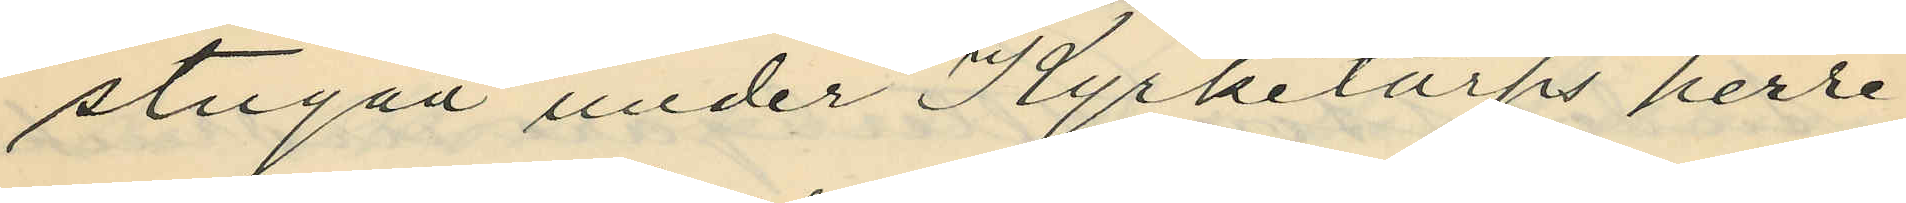stugan under Kyrketorps herre¬
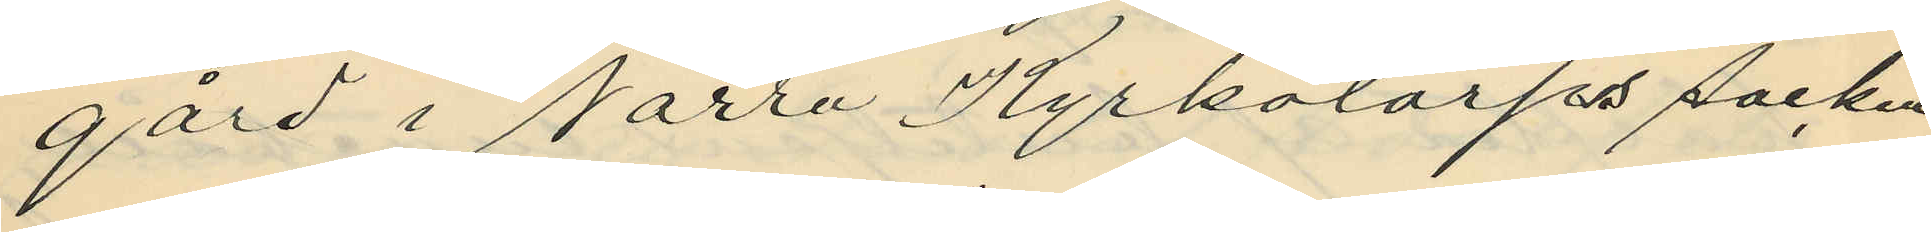gård i Norra Kyrkotorps socken,
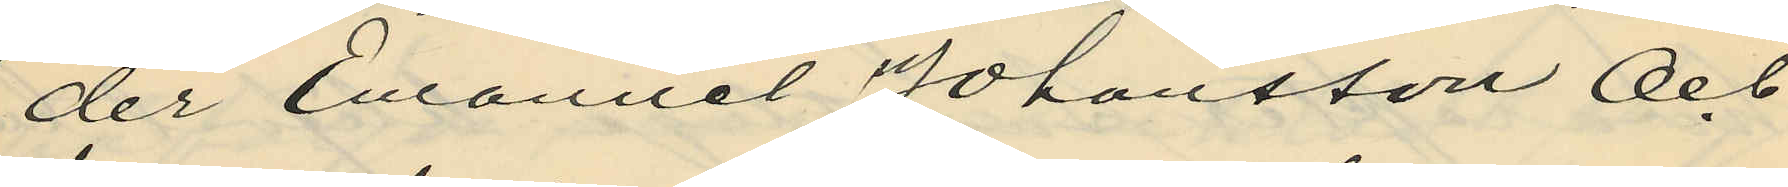der Emanuel Johansson Och
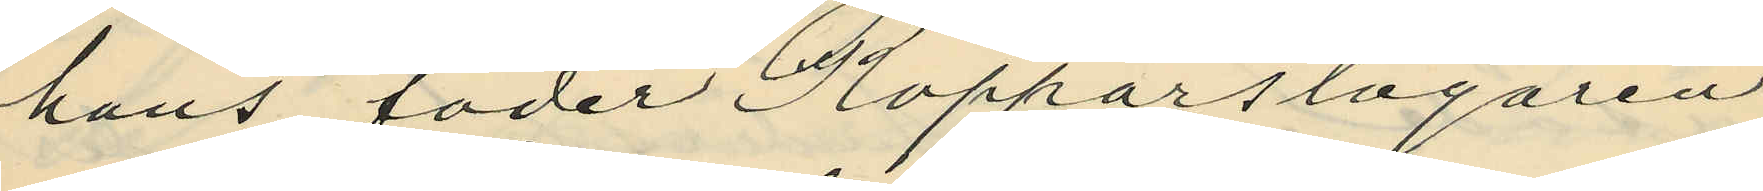hans fader Kopparslagaren
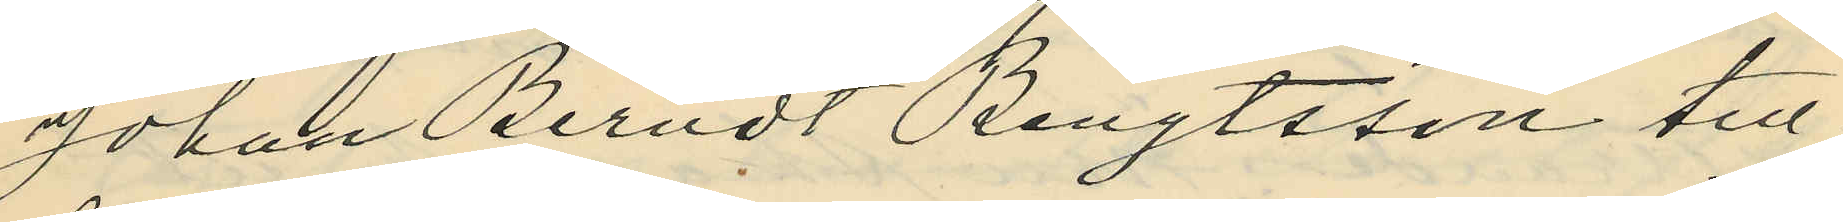Johan Berndt Bengtsson till¬
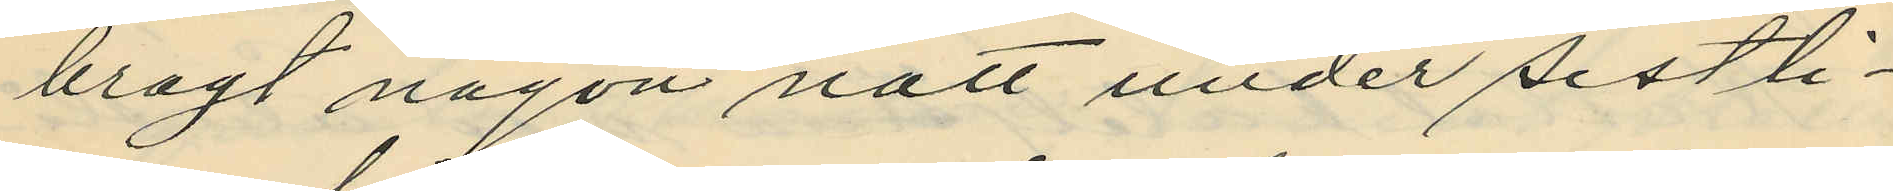bragt någon natt under sist li¬
